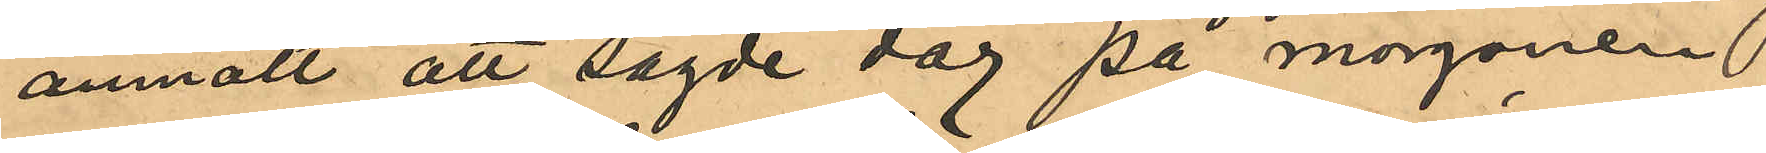anmält att sagde dag på morgonen
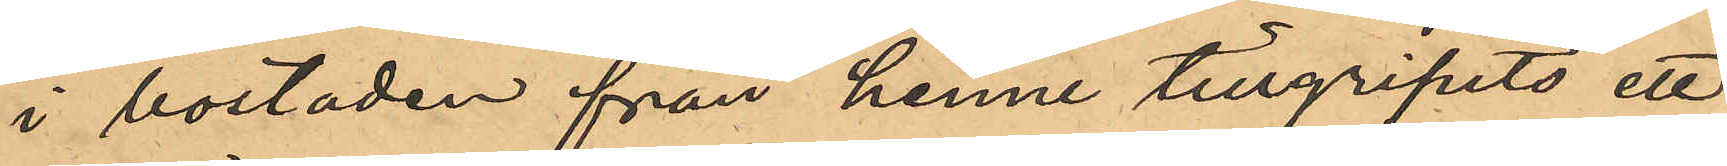i bostaden från henne tillgripits ett
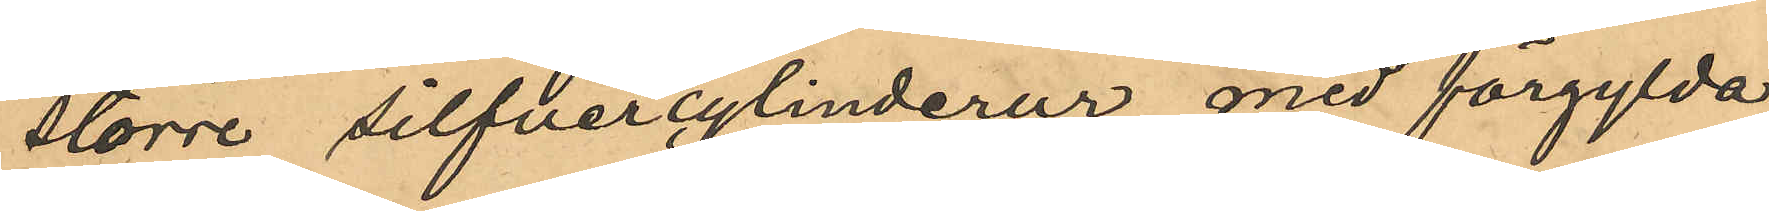större silfvercylinderur med förgylda
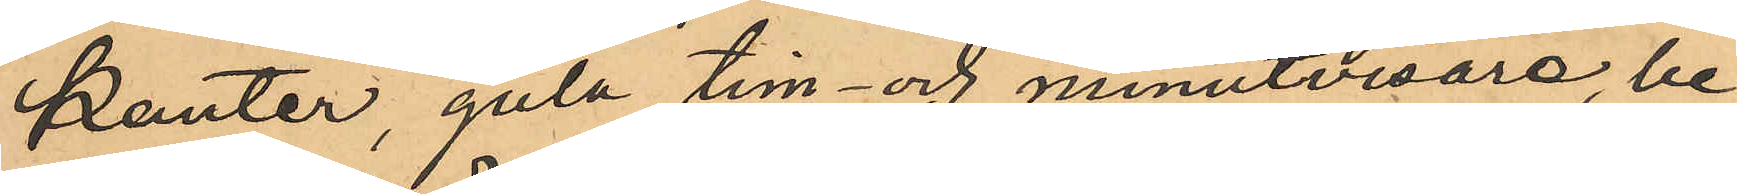kanter, gula tim- och minutvisare; be¬
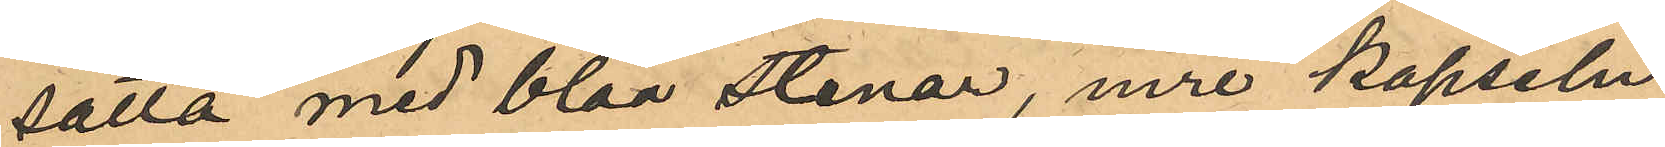satta med blåa stenar, inre kapseln
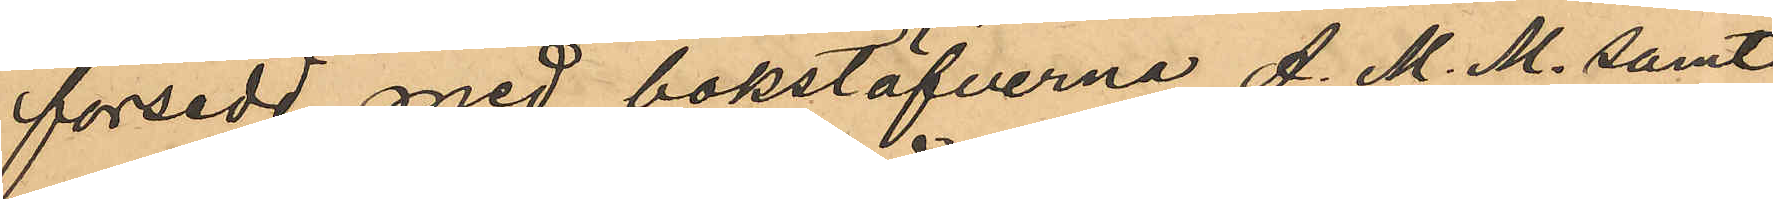försedd med bokstäfverna A. M. M. samt
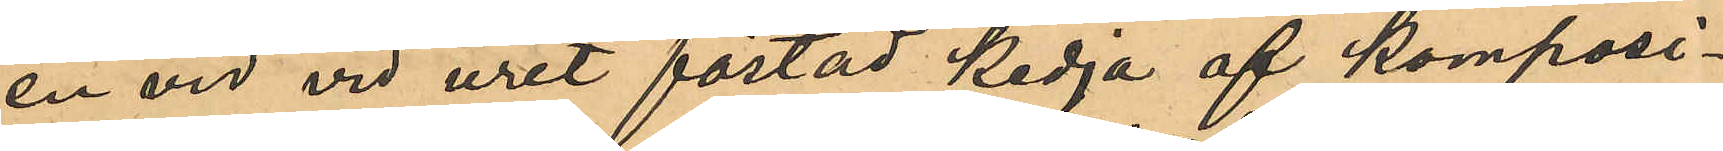en vid vid uret fästad kedja af komposi¬
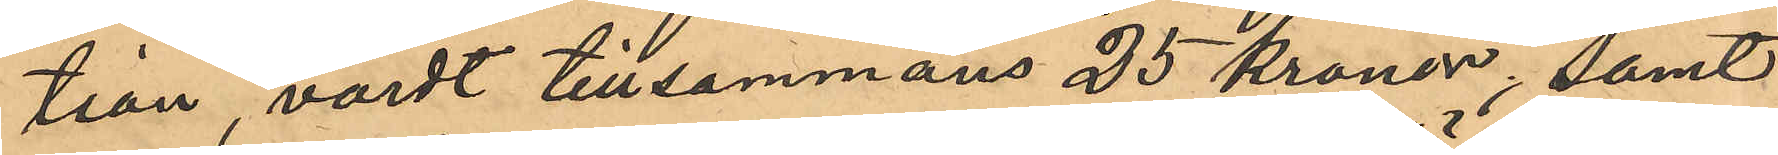tion, värdt tillsammans 25 kronor; samt
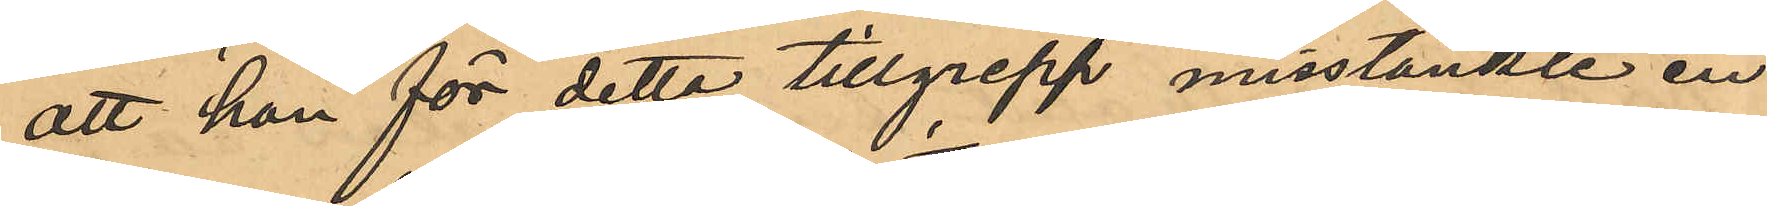att hon för detta tillgrepp misstänkte en
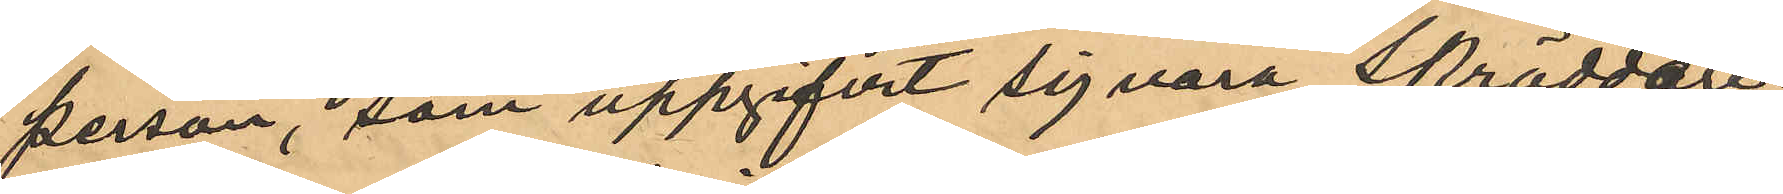person, som uppgifvit sig vara Skrädderi¬
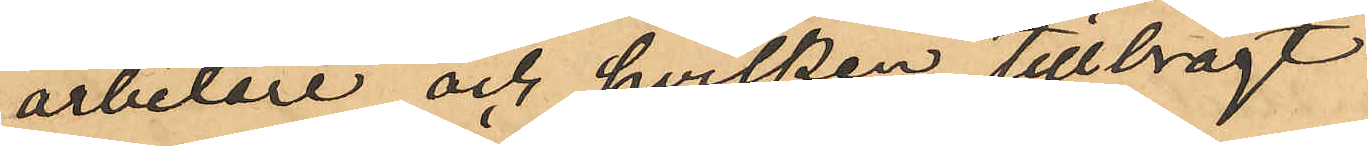arbetare och hvilken tillbragt
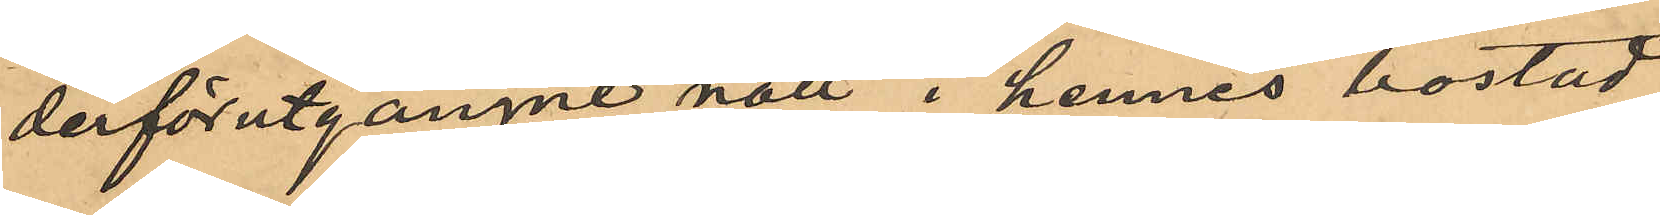derförutgångne natt i hennes bostad,
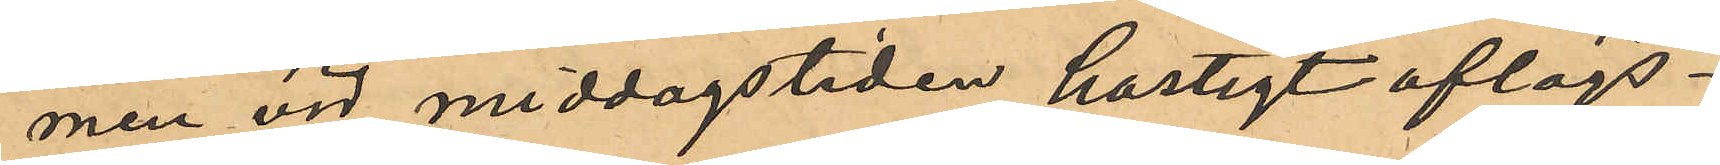men vid middagstiden hastigt aflägs¬
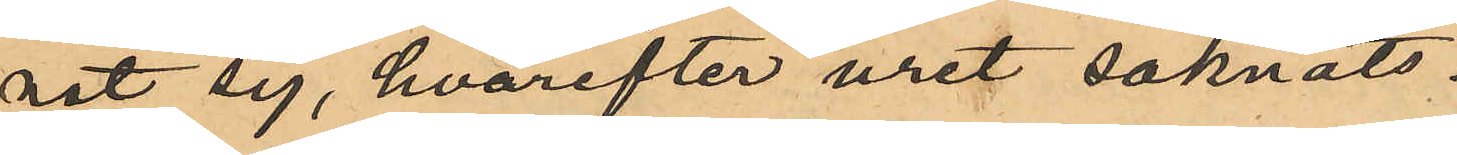nat sig, hvarefter uret saknats.
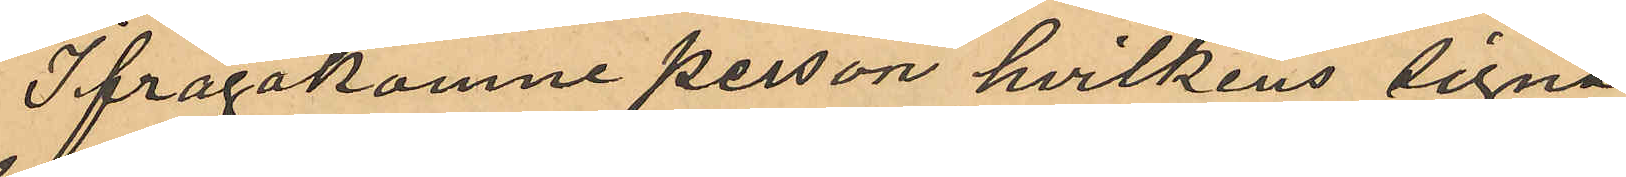Ifrågakomne person hvilkens signa¬
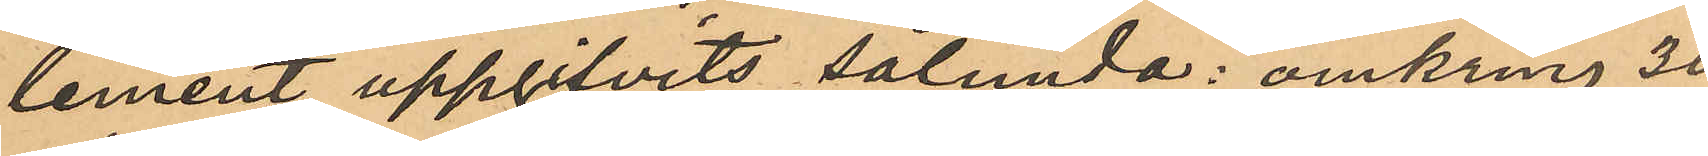lement uppgifvits sålunda: omkring 30
